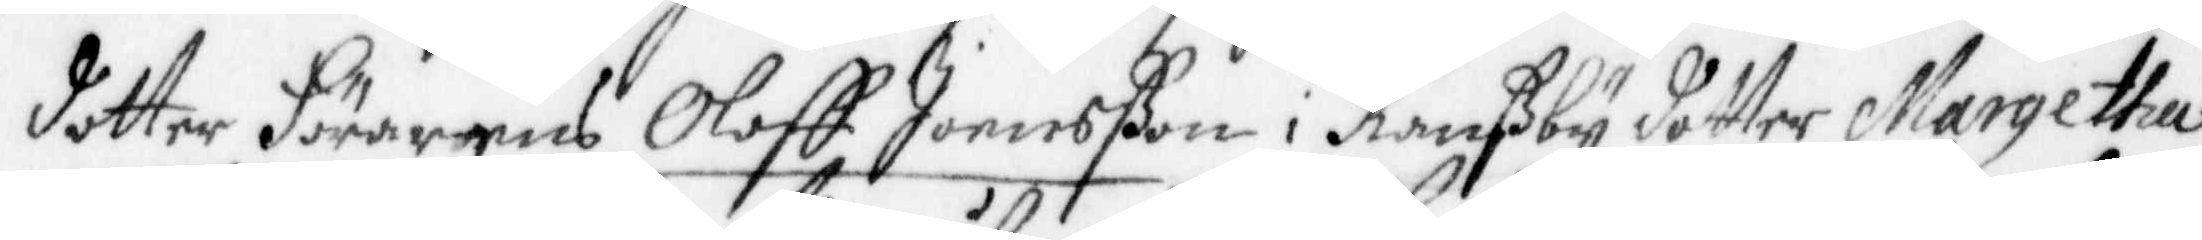dotter Förarens Oloff Jonsßon i Ranßby dotter Margetta
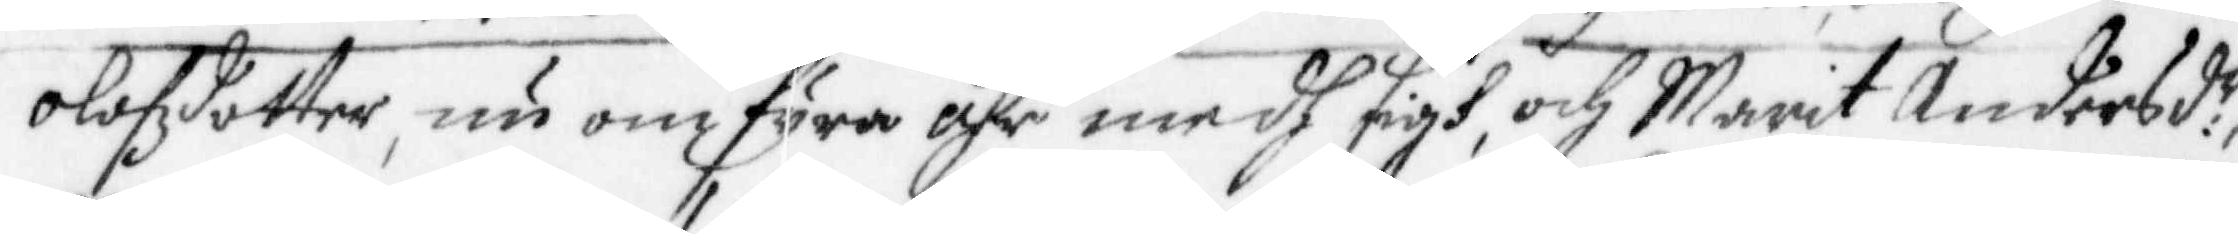Olofzdotter, nu om fyra åhr medh sigh, och Marit Andersd.r
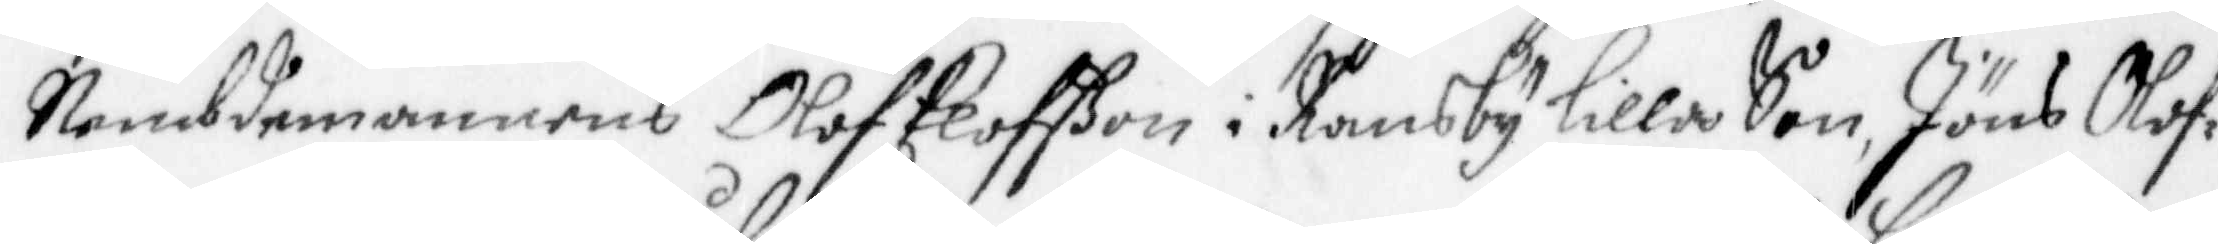Nembdemannens Olof Elofson i Ransby lilla Son, Jöns Olof¬
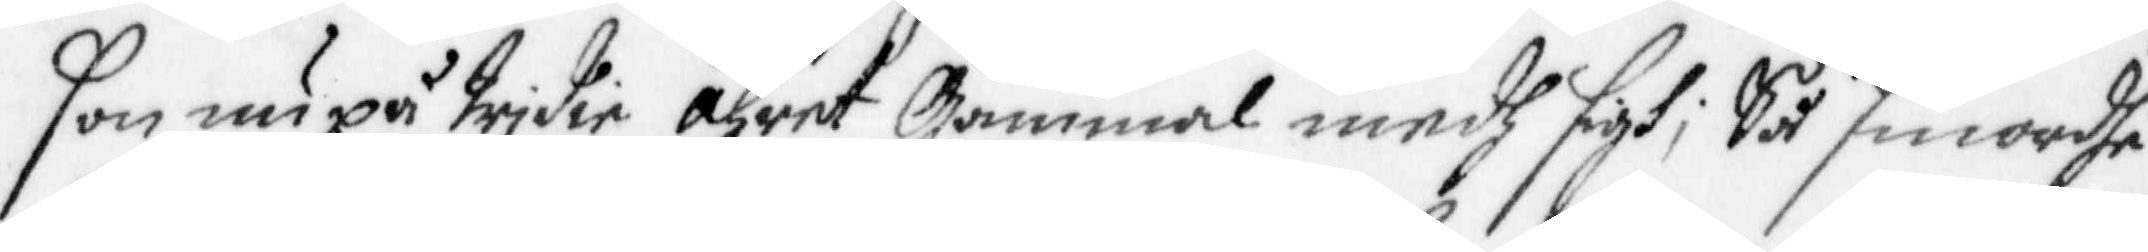son, nu på trjdie åhret Gammal medh sigh; Så smordhe
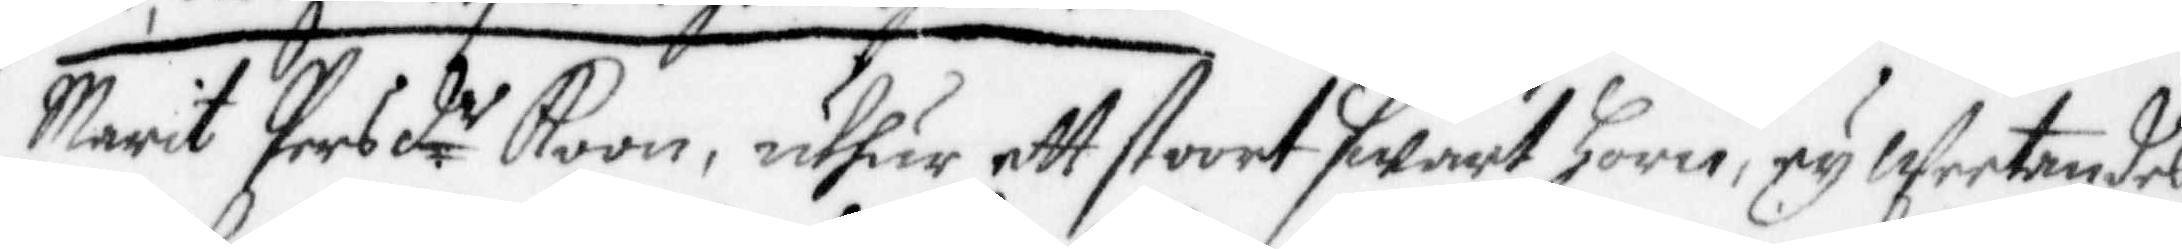Marit Persd.er Koon, uthur ett stoort swart Horn, ey Weetandes
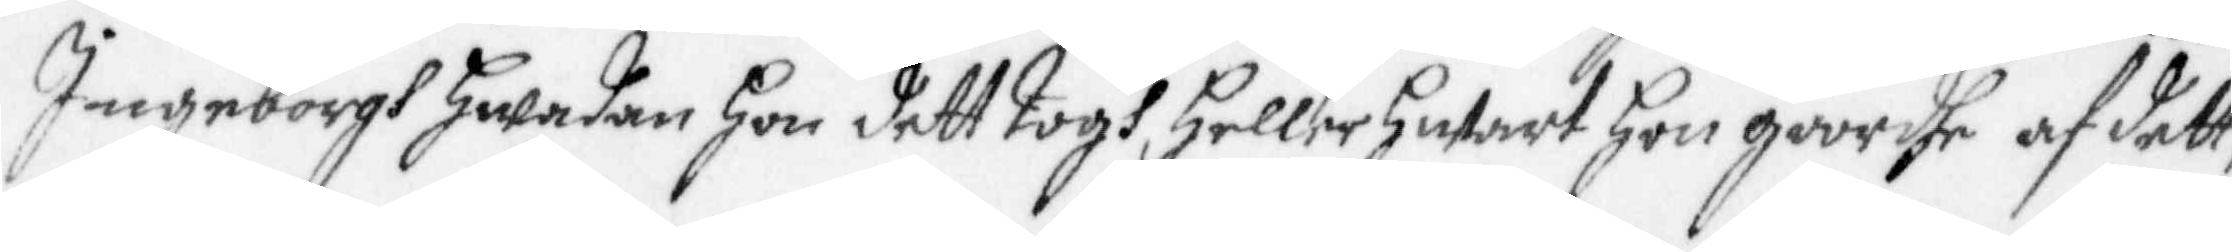Ingeborgh hwadan hon dett togh, Heller hwart Hon giordhe af dett;
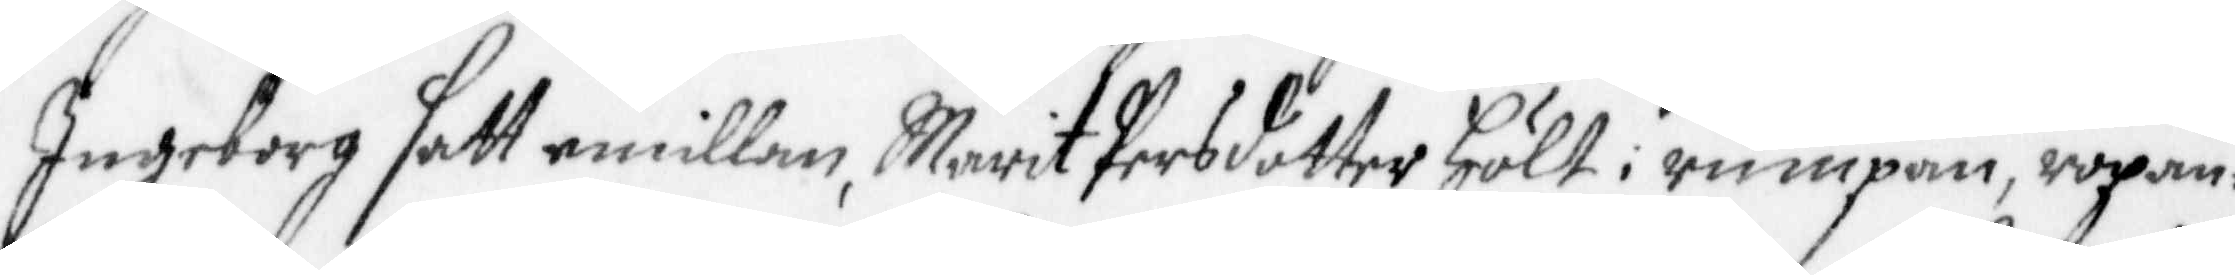Ingeborg satt emillan, Marit Persdotter hölt i rumpan, ropan¬
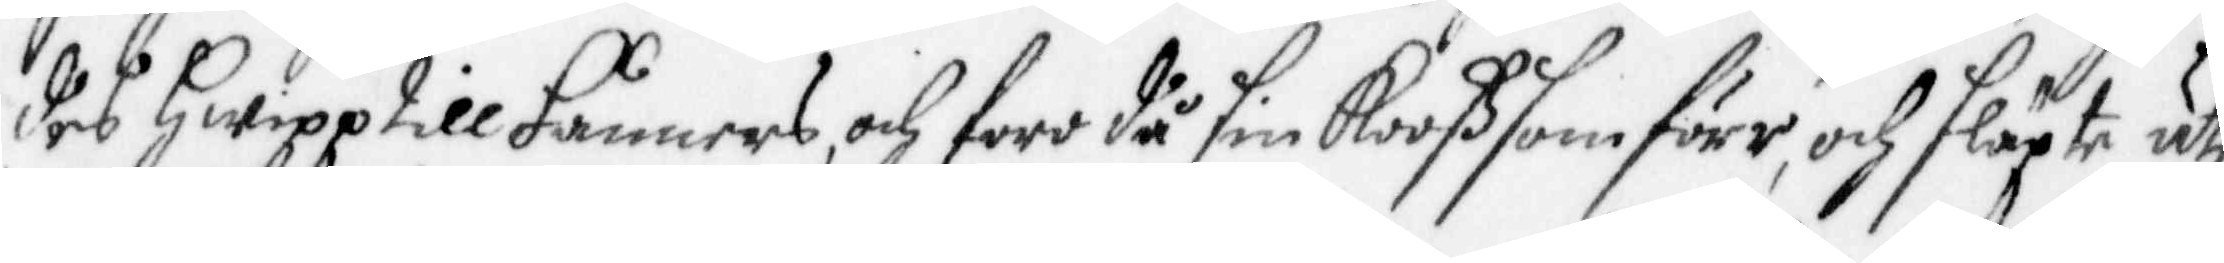des Hwipp till Fånners, och foro då sin Kooß som förr, och släpte uti
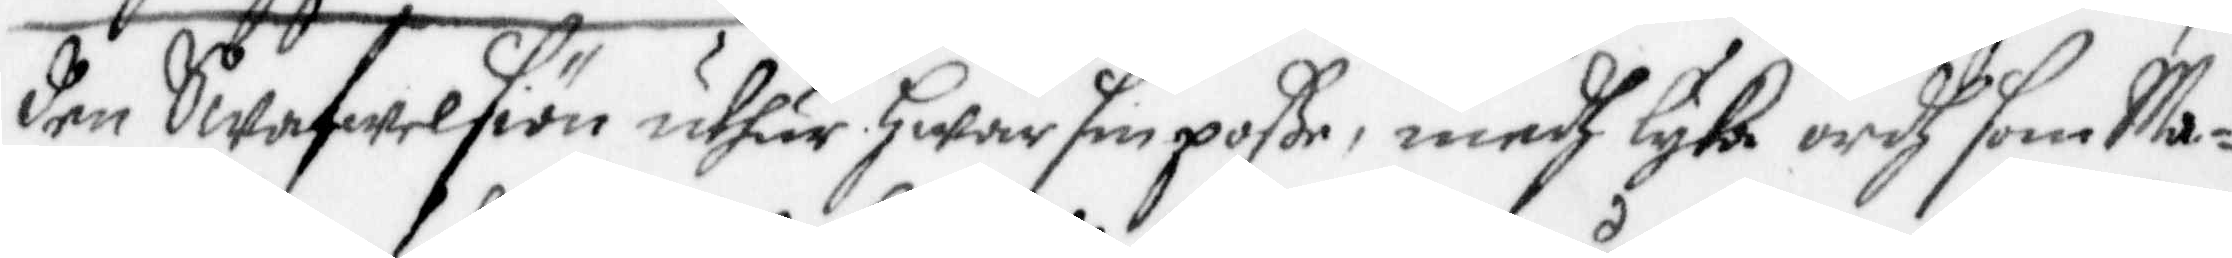den Swafwelsiön uthur hwar sin poße, medh lyka ordh som Ma¬
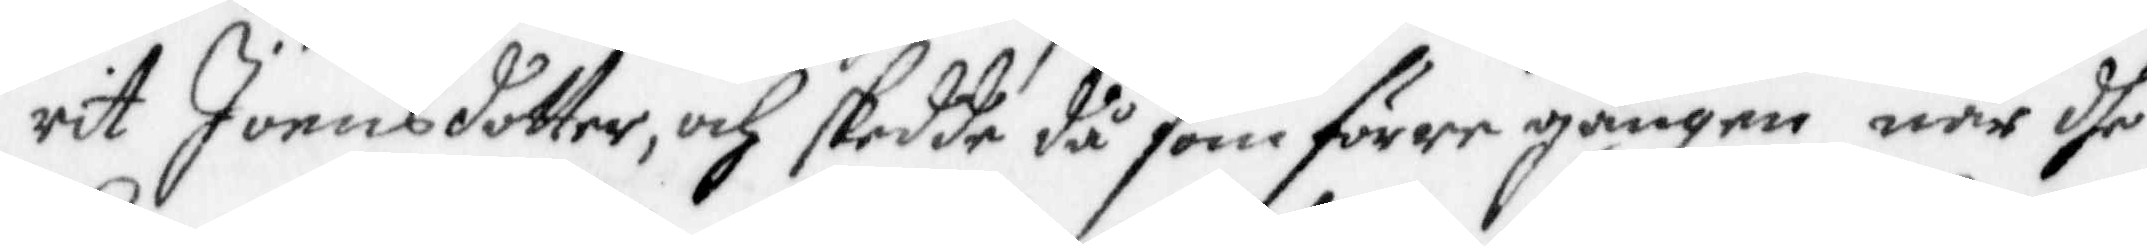rit Joensdotter, och skedde då som förre gången när dhe
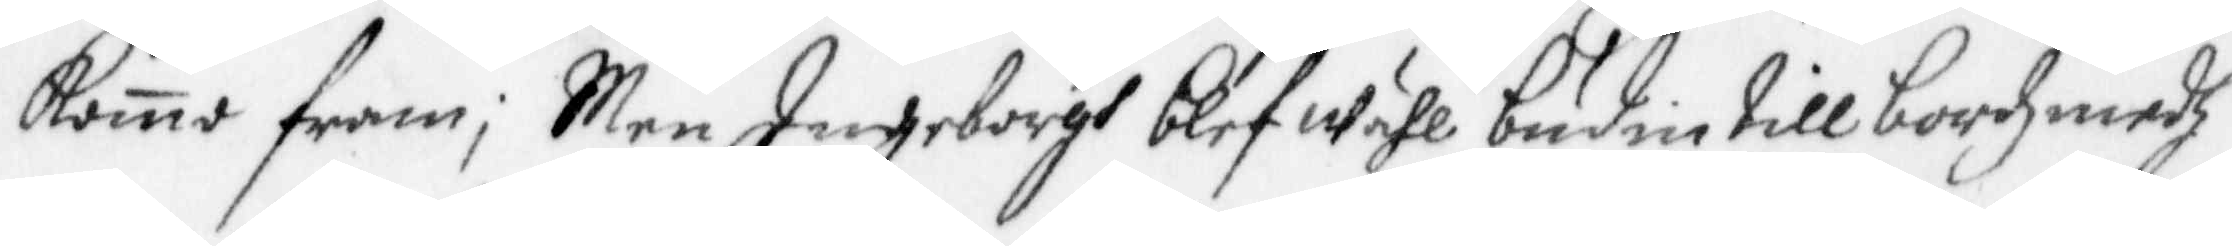Komo fram; Men Ingeborgh blef wähl budin till bordz medh
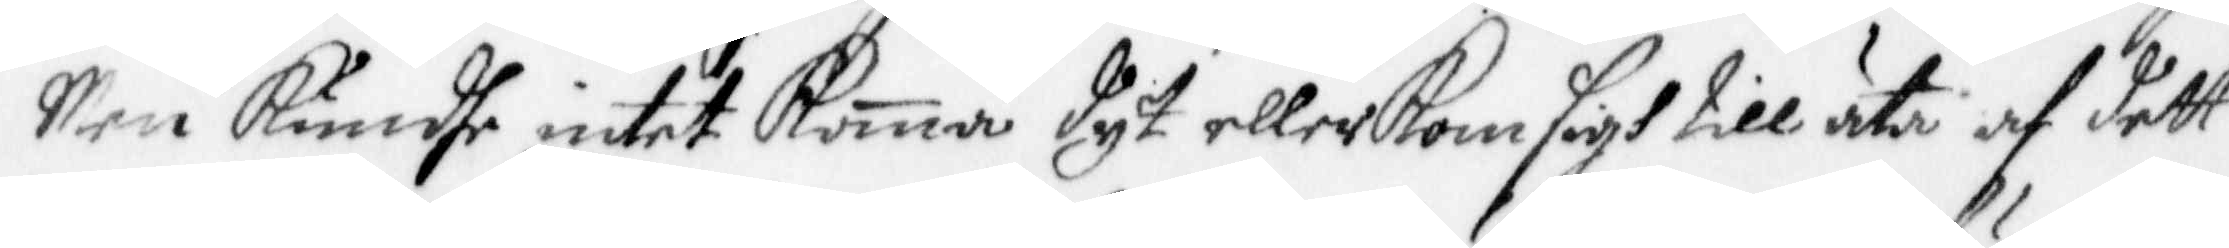Men Kundhe intet Koma dyt eller Kom sigh till äta af dett
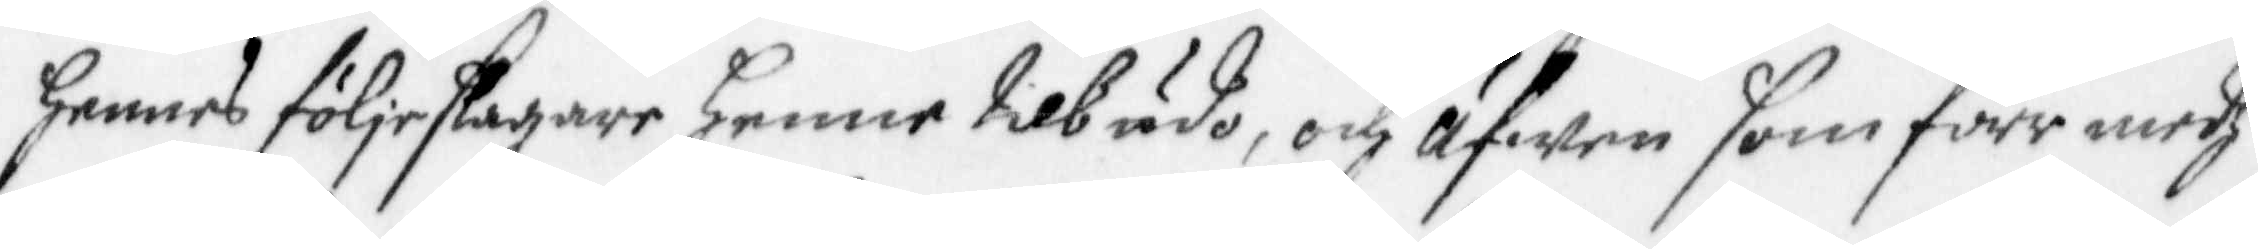hennes följeslagare henne tilbudo, och äfwen som förr medh
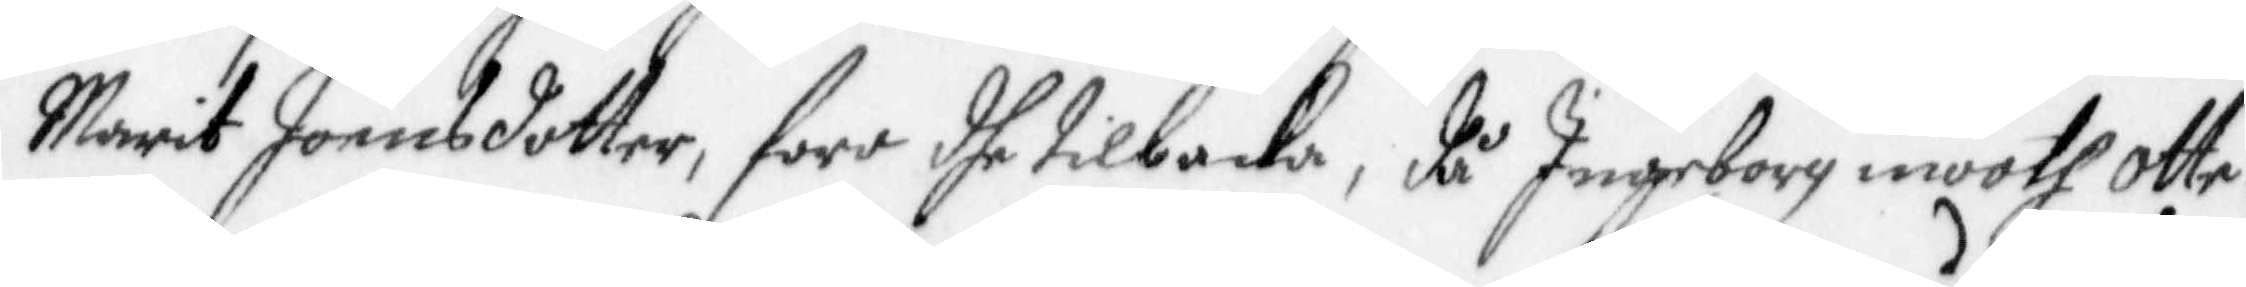Marit Joensdotter, foro dhe tilbacka, då Ingeborg mooth otte¬
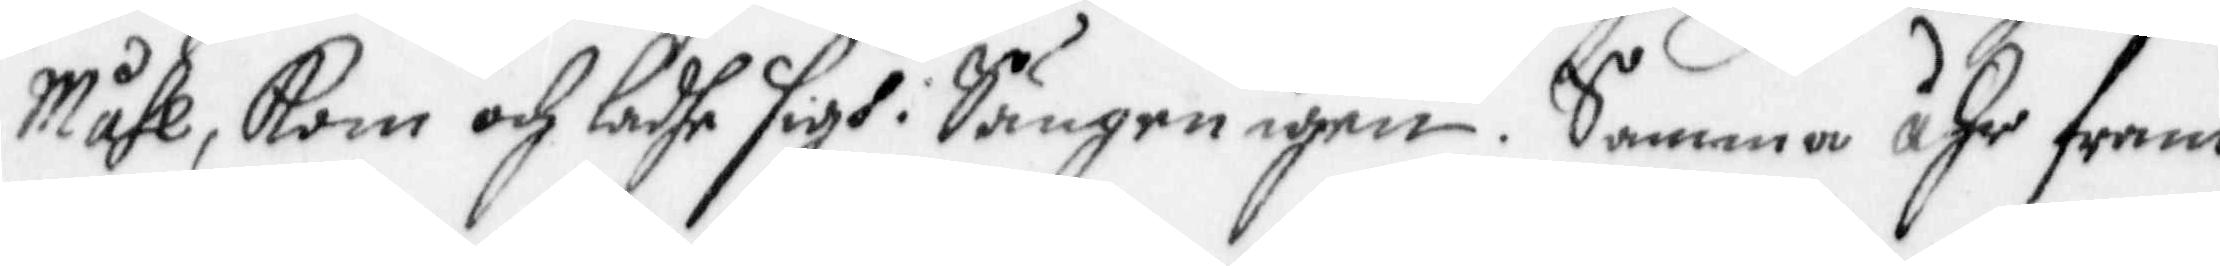Måhl, Kom och ladhe sigh i Sängen igen. Samma ähr fram
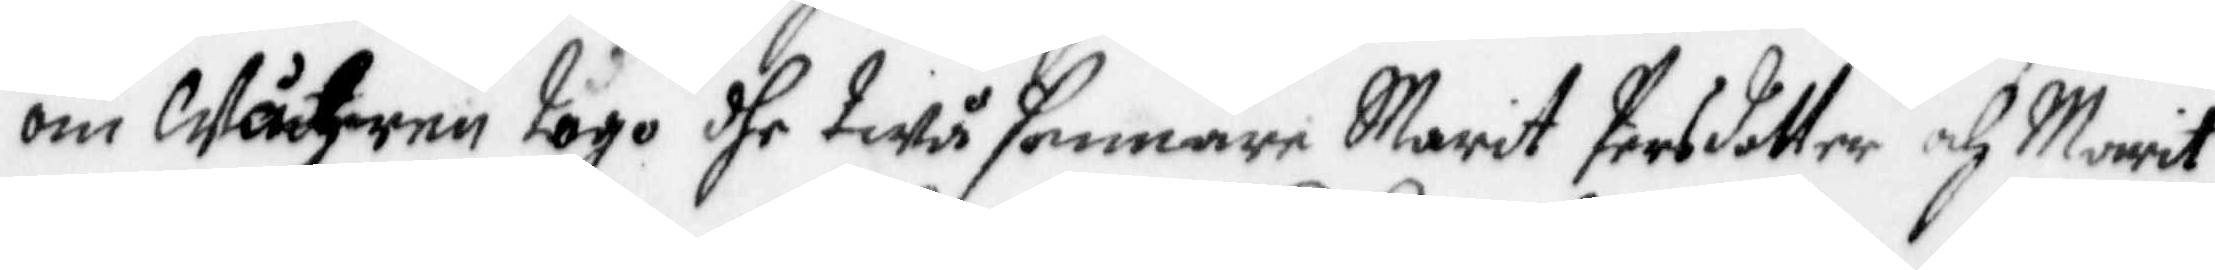om Wåhren togo dhe twå sammare Marit Persdotter och Marit
